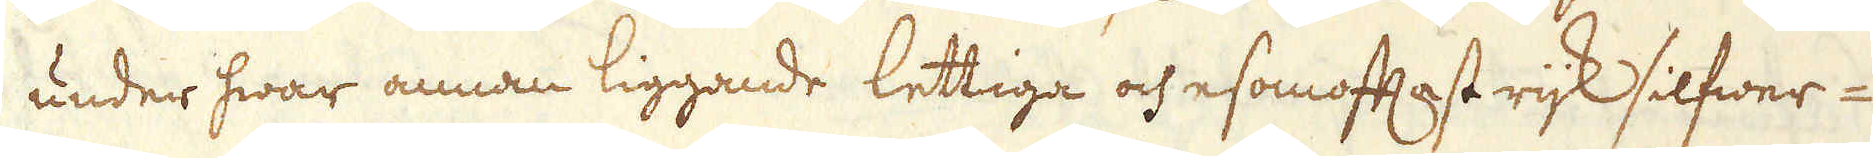under hwar annan liggande lettiga och esomoftast rijk silfwer-
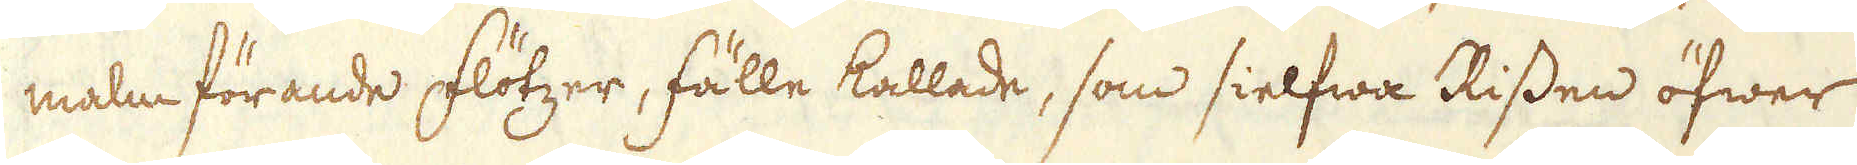malm förande flötzer, fälle kallade, som sielfwa Rissen öfwer
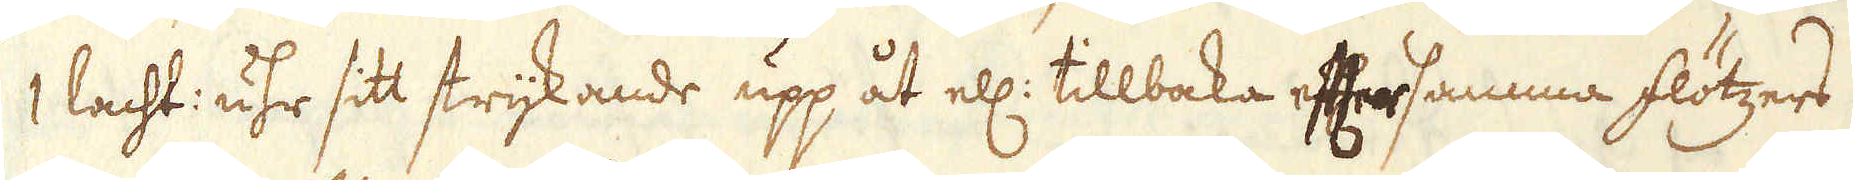1 lacht: uhr sitt strykande upp åt ell: tillbaka eftersamma flötzers
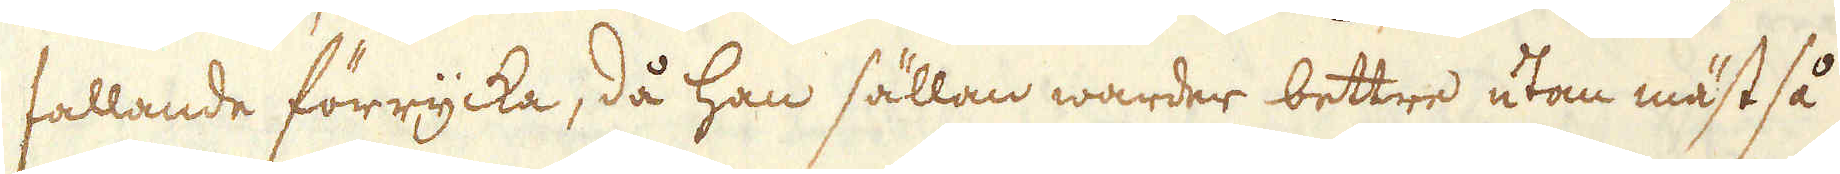fallande förrycka, då han sällan warder bettre utan mäst så
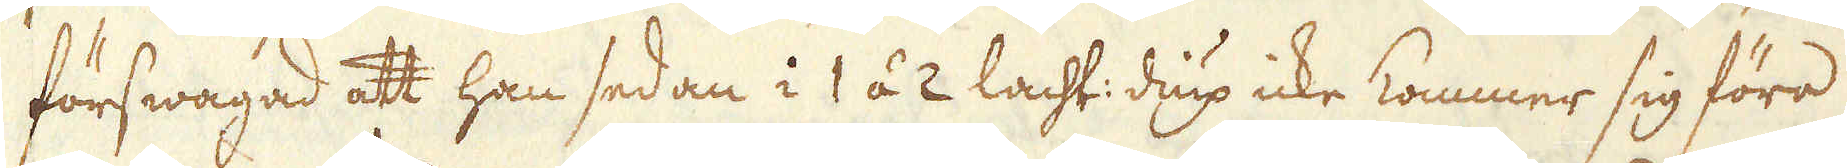förswagad att han sedan i 1 á 2 lacht: diup icke kommer sig föra
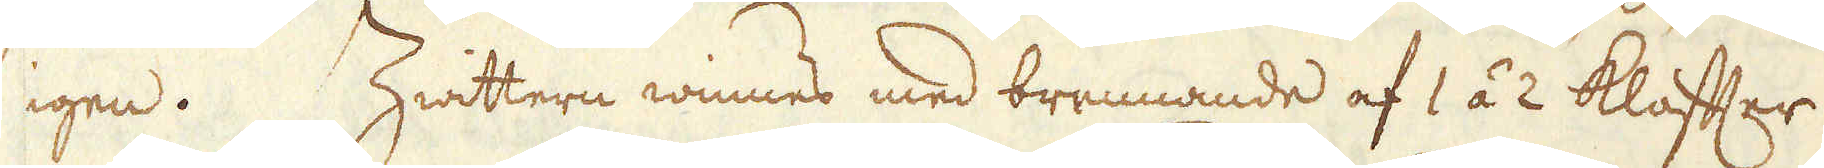igen. Hwittern winnes med brennande af 1 á 2 klaffter
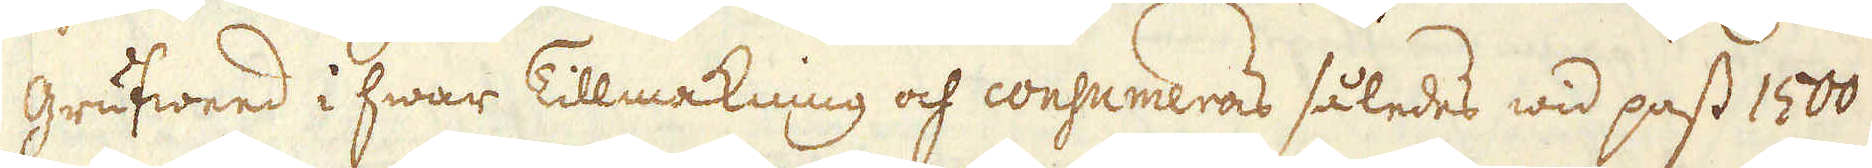Grufweed i hwar Tillmakning och consumeras således wid pass 1500
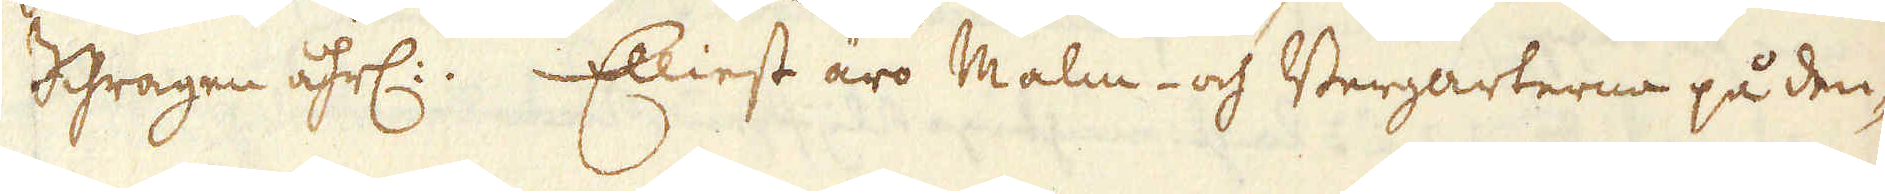Shragen åhrl:; Elliest äro Malm- och Bergarterne på den-
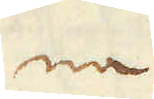na
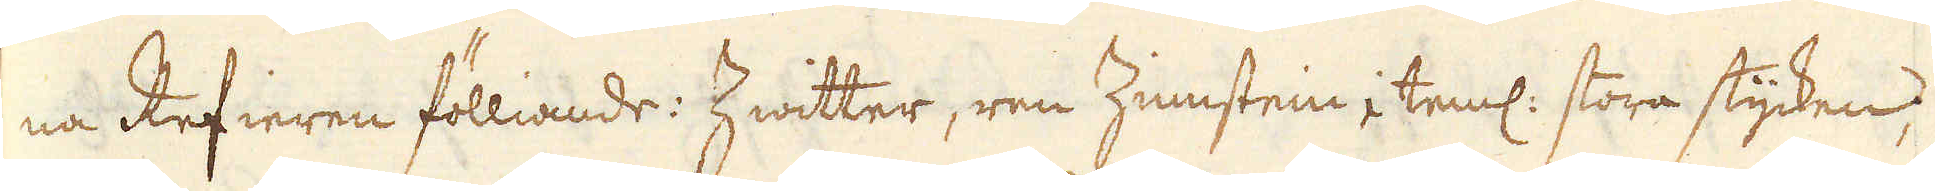na Refieren fölliande: Zwitter, ren Zinstein, teml: stora stycken;
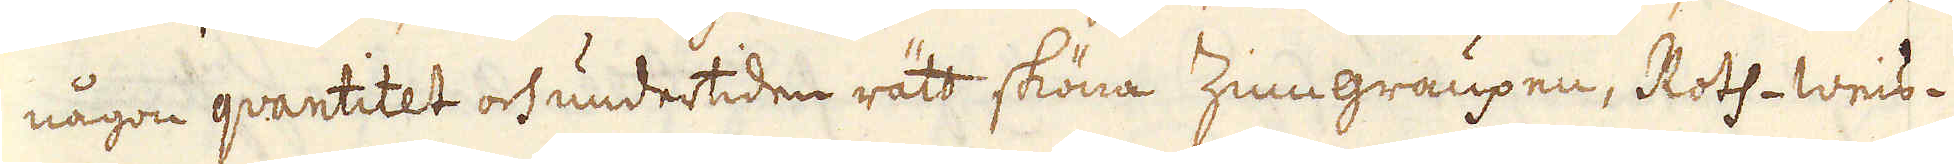någon quantitet och undertiden rätt sköna Zinngraupen, Roth- Weis-
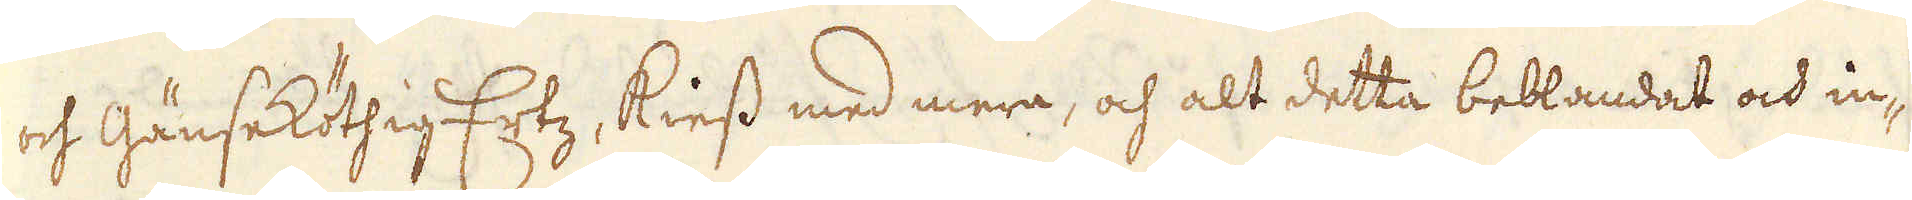och Gänseköthig Ertz, kiess med mera, och alt detta beblandat och in-
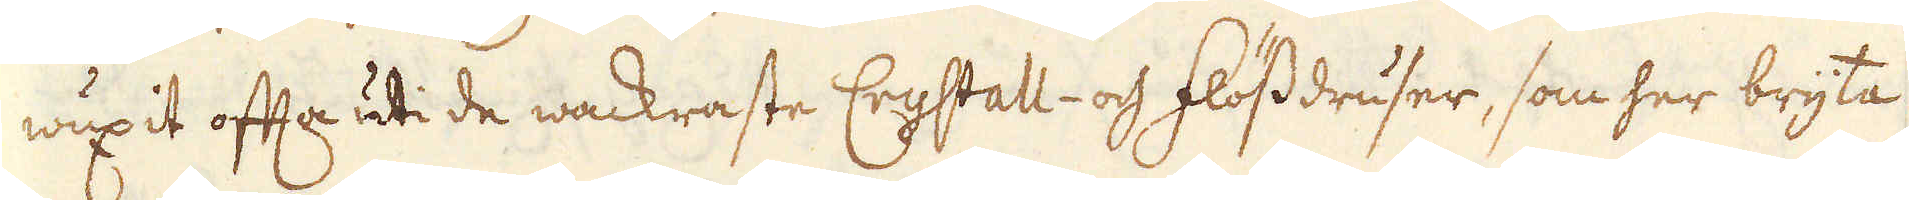wuxit ofta uti de wackraste Crystall- och flössdruser, som her bryta
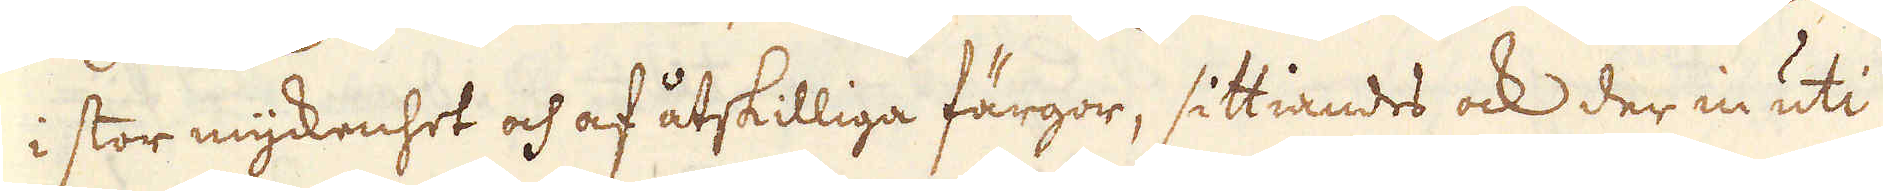i stor myckenhet och af åtskilliga färgor, sittiandes ock der in uti
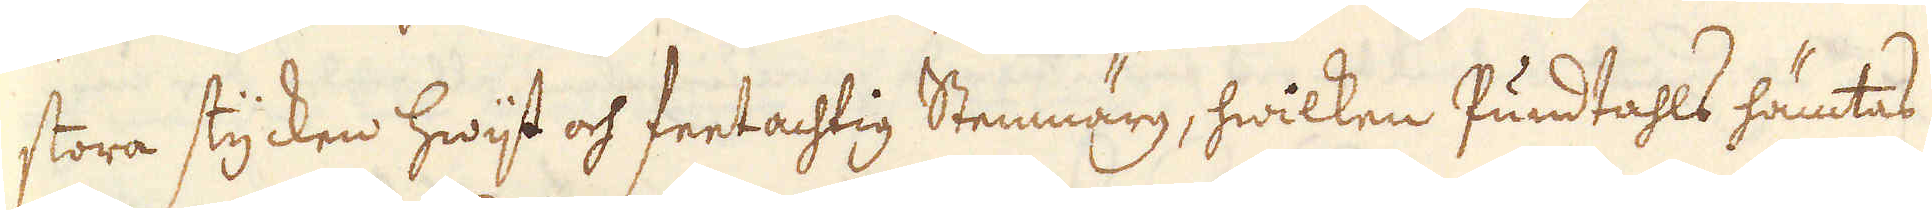stora stycken hwijt och feetachtig Stemmärg, hwilken Pundtahls hämtas
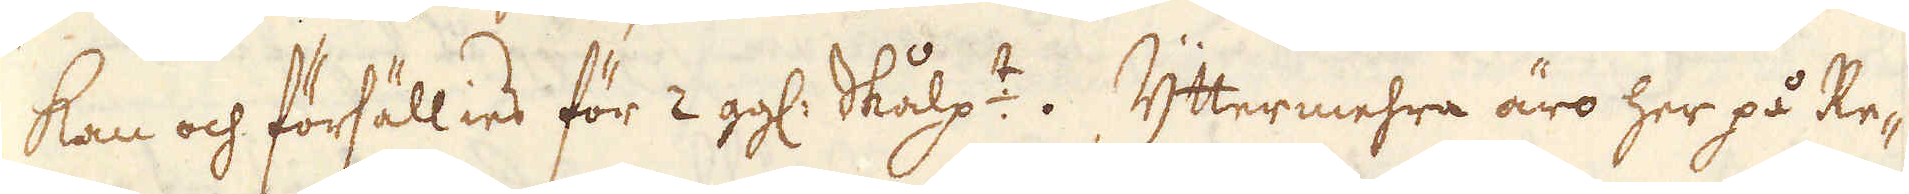kan och försällies för 2 gg: Skålp:t. Yttermehra äro her på Re-
